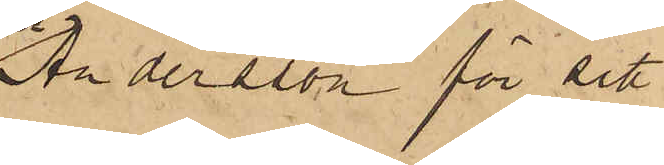Andersson för sitt
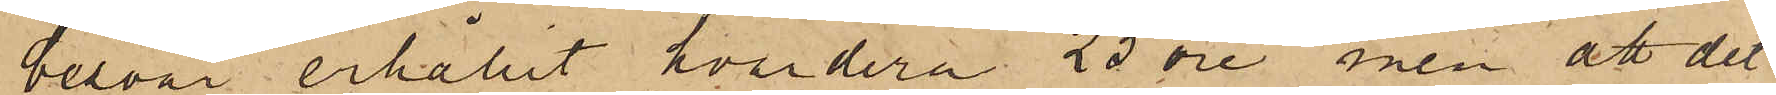besvär erhållit hvardera 25 öre, men att det
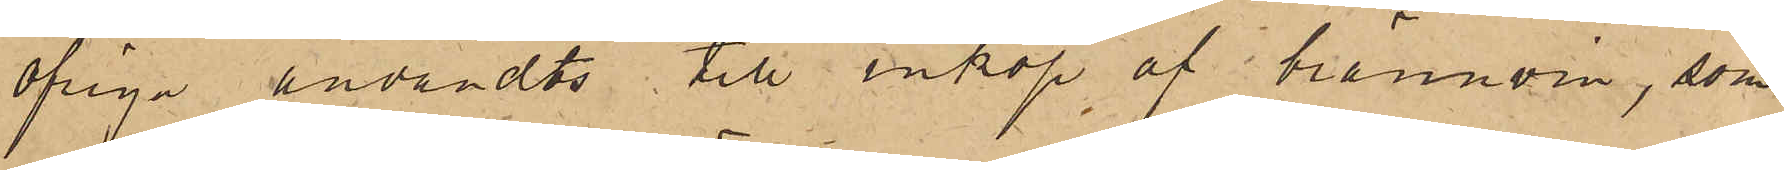öfriga användts till inköp af brännvin, som
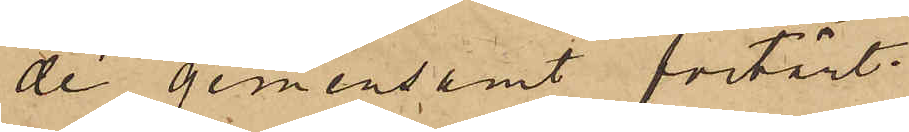de gemensamt förtärt:
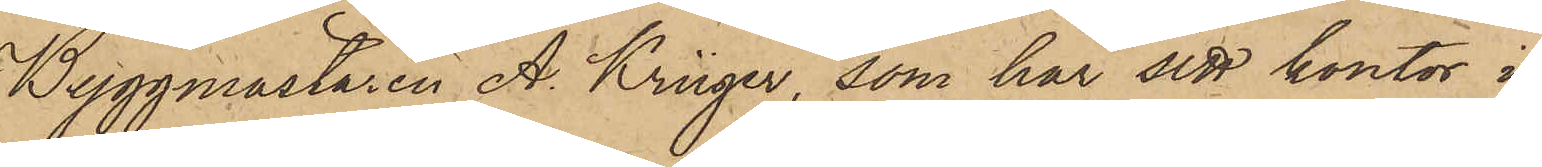Byggmästaren A. Krüger, som har sitt kontor i
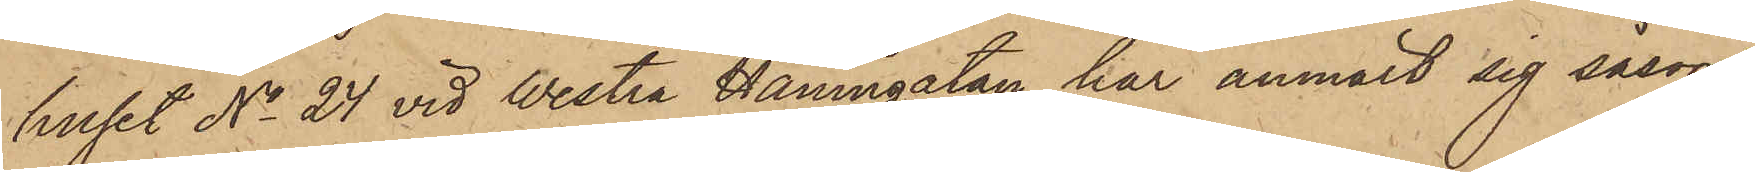huset No 24 vid Westra Hamngatan har anmält sig såsom
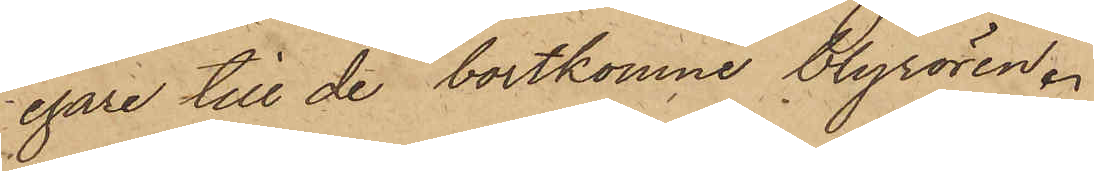egare till de bortkomne blyrören.
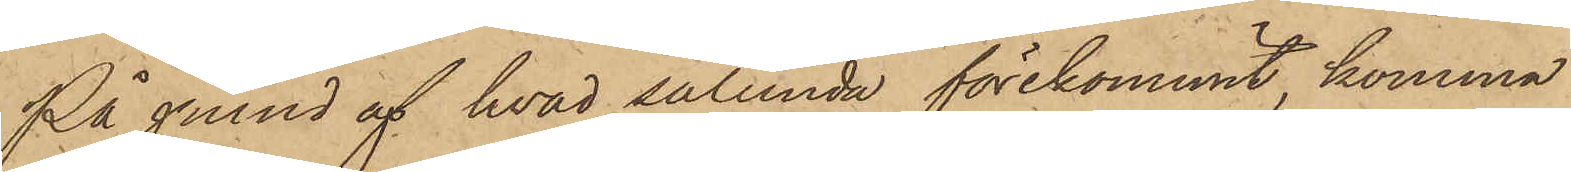På grund af hvad sålunda förekommit, komma
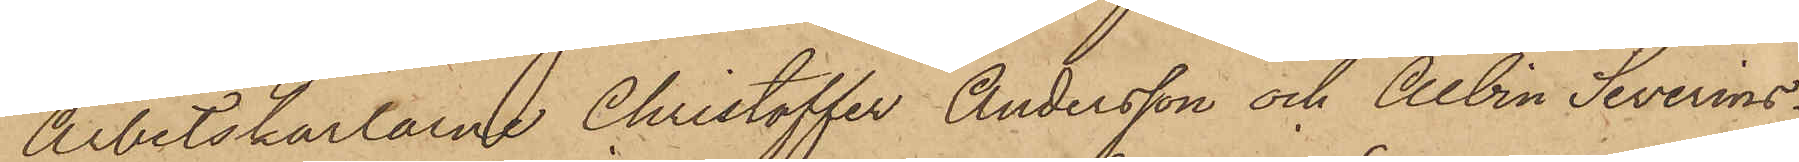Arbetskarlarne Christoffer Andersson och Albin Severins¬
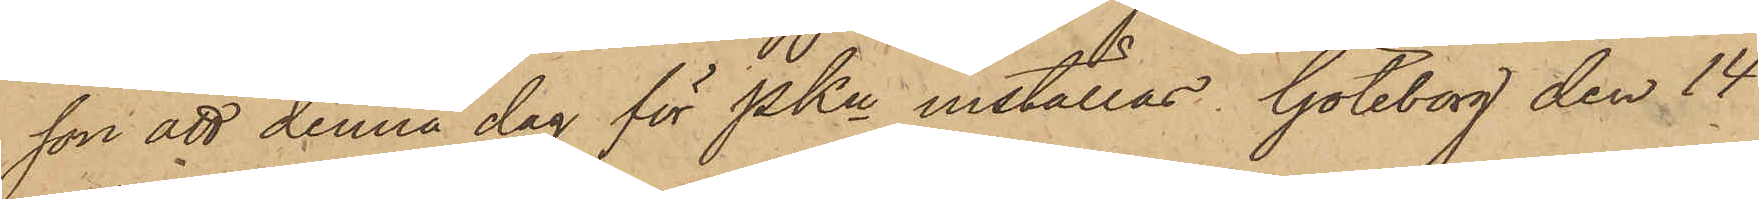son att denna dag för PKn inställas. Göteborg den 14
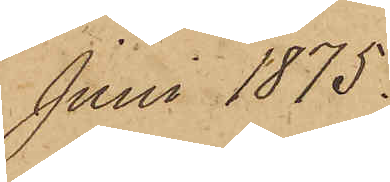Juni 1875.
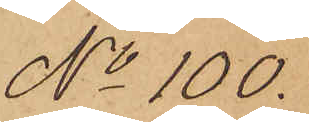No 100.
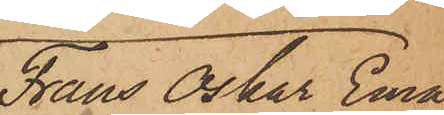Frans Oskar Ema¬
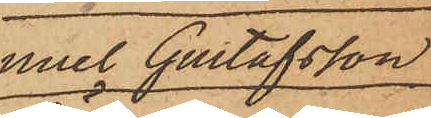nuel Gustafsson
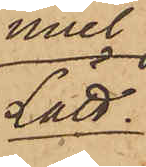Lätt.
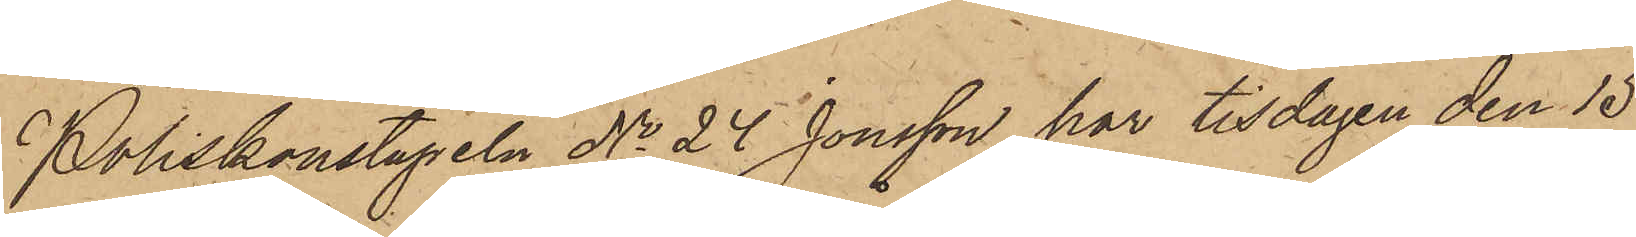Poliskonstapeln No 24 Jonsson har tisdagen den 15
